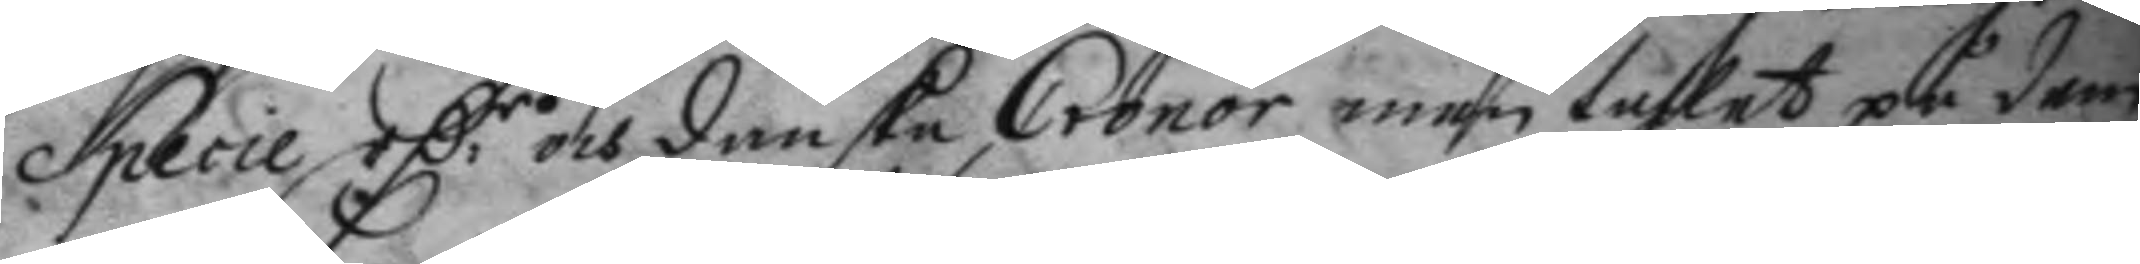Specie C.r och danska Cronor men tahlet på dem
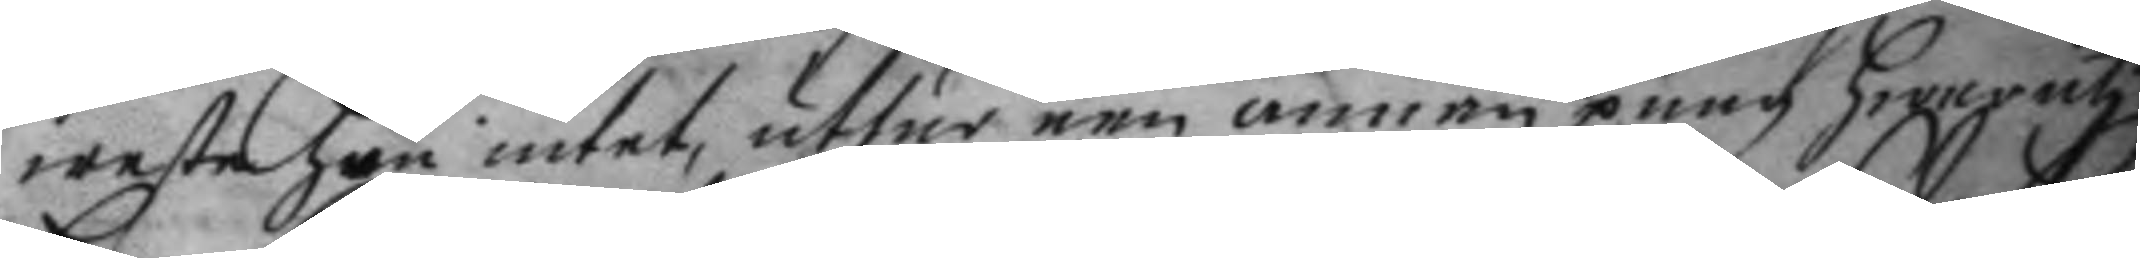weste hon intet, uthur een annan pung hwar uti
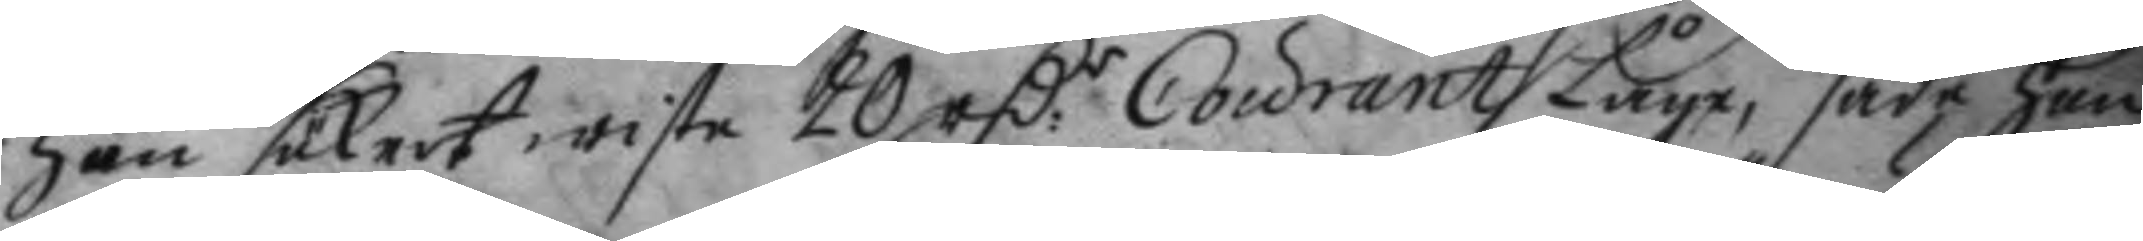hon säkert wiste 20 rC:r Courant Låge, sade hon
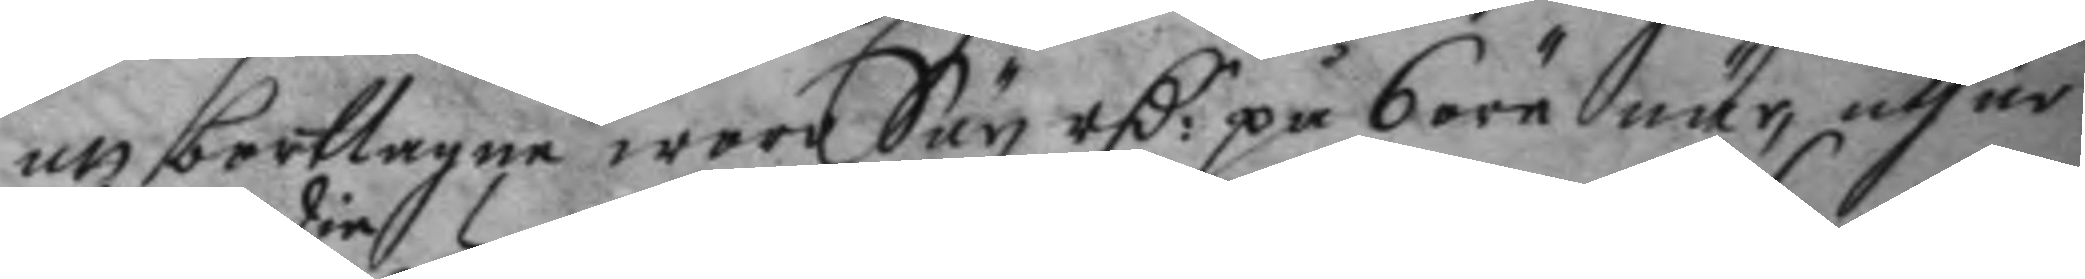att borttagne wore Sex rC:r på 6 öre när, uthur
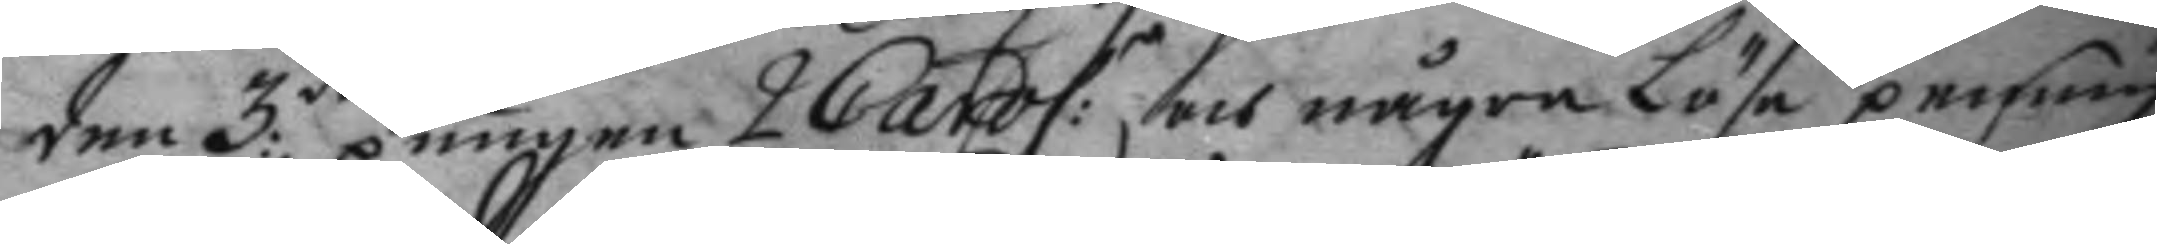den 3:die pungen 2 Carol:r och några Löse penning
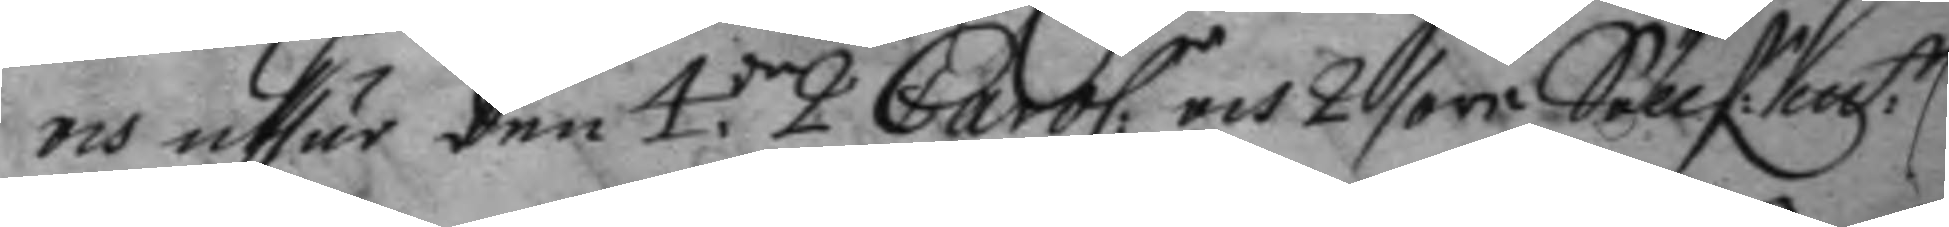och uthur den 4.de 2 Carol:r och 2 öre Söllf:m:tt 
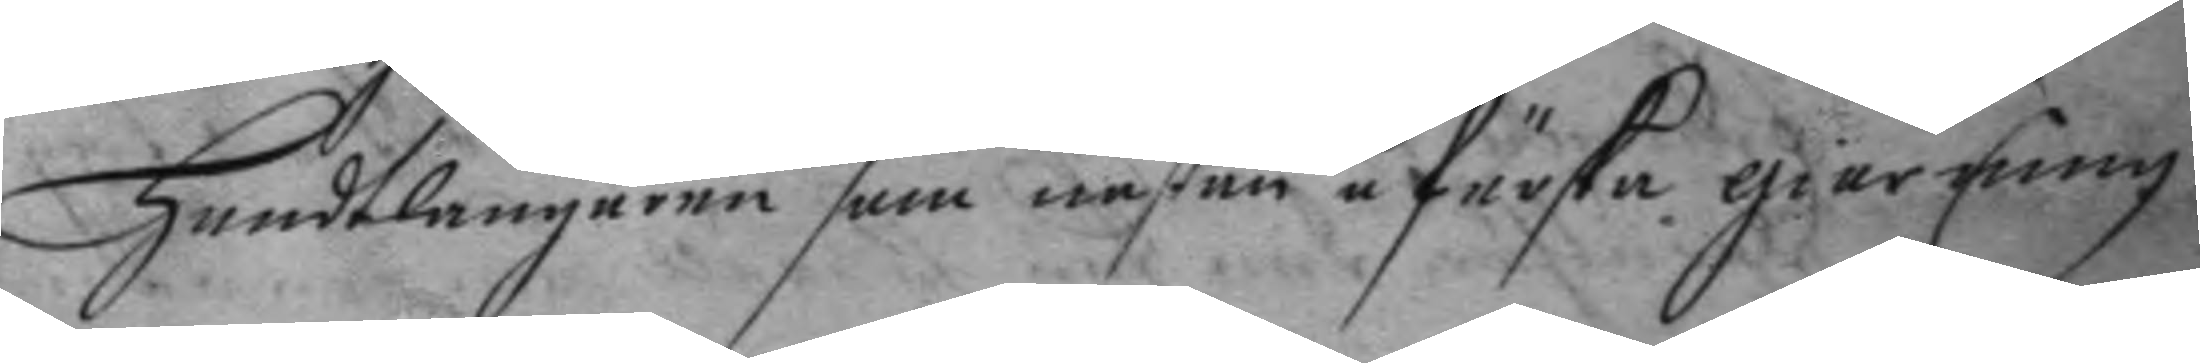handtlangaren som nästan å färska giärningen
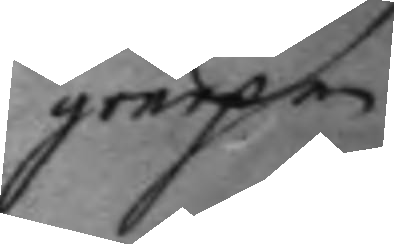grepen
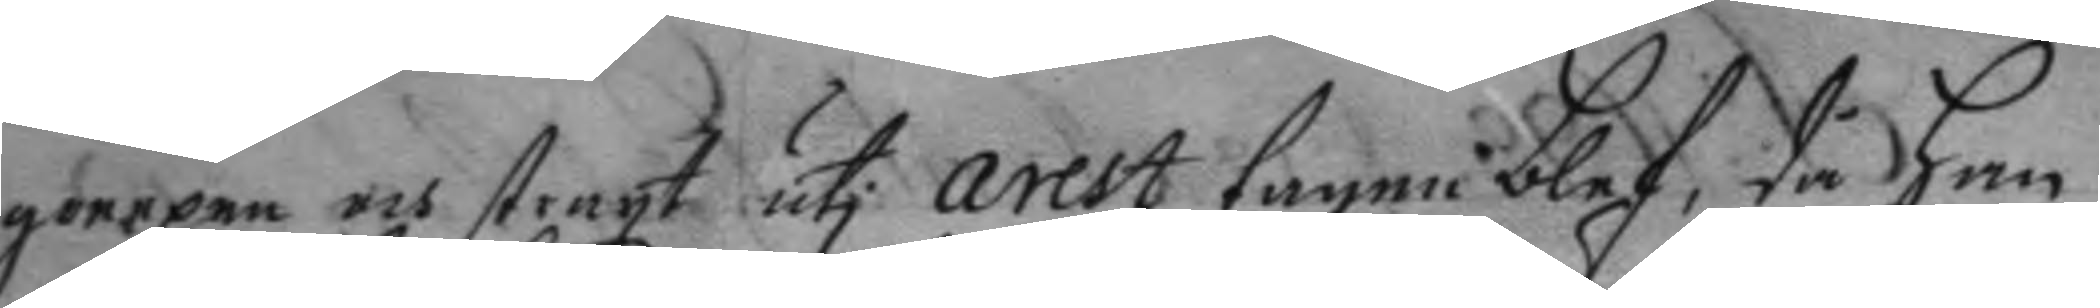greepen och straxt uti arest tagen blef, då han
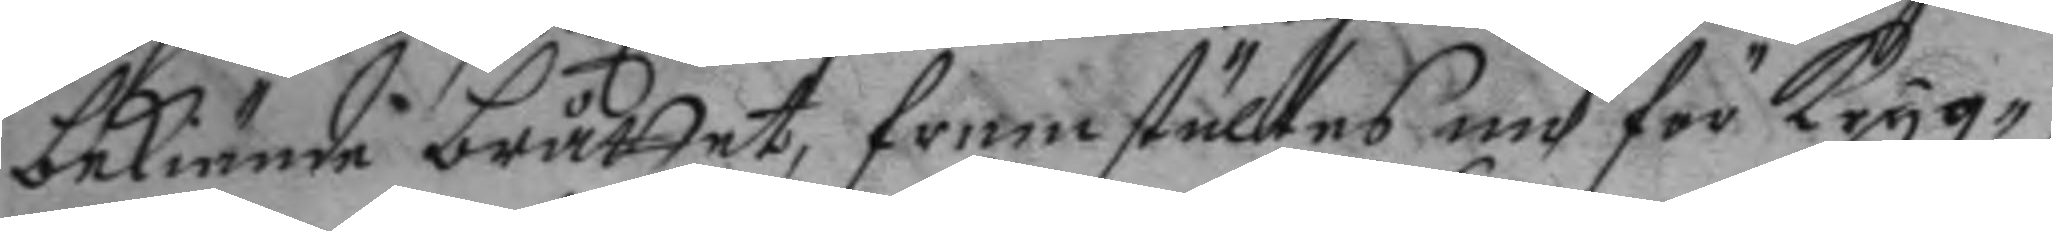bekiände bråttet, framställdes nu för Krigz¬
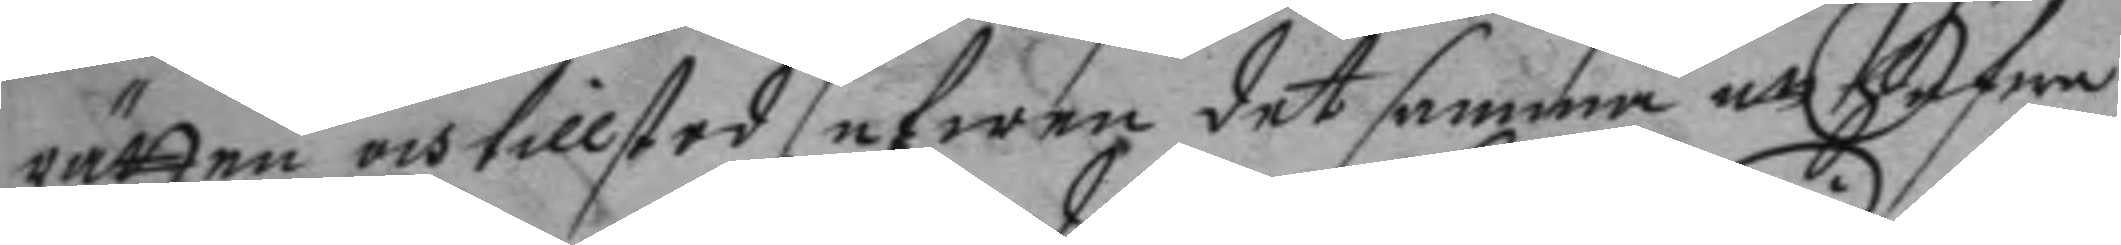rätten och tillstod efwen det samma att hafwa
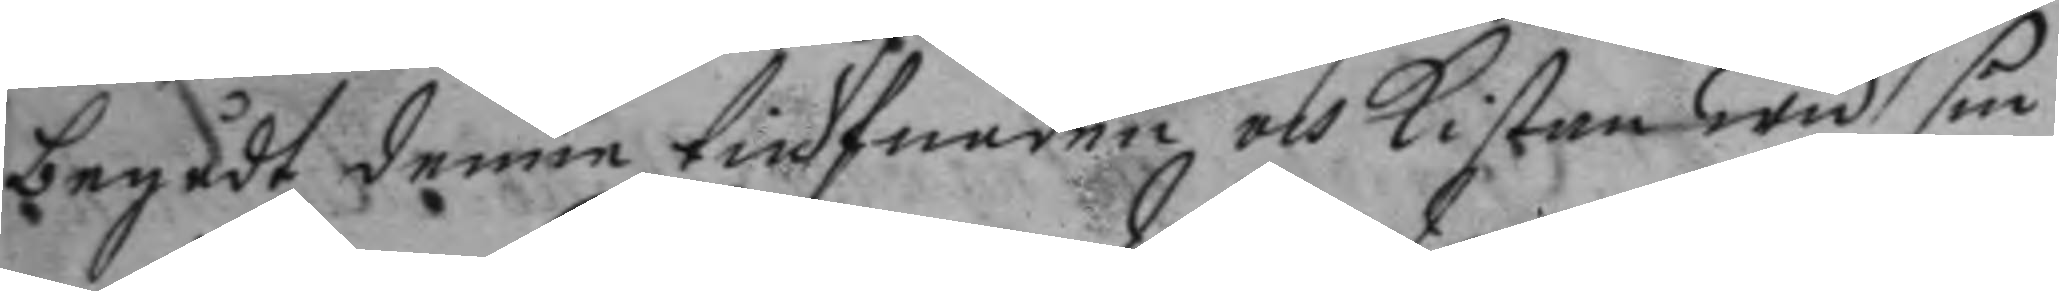begådt denne tiufnaden och kistan wid sin
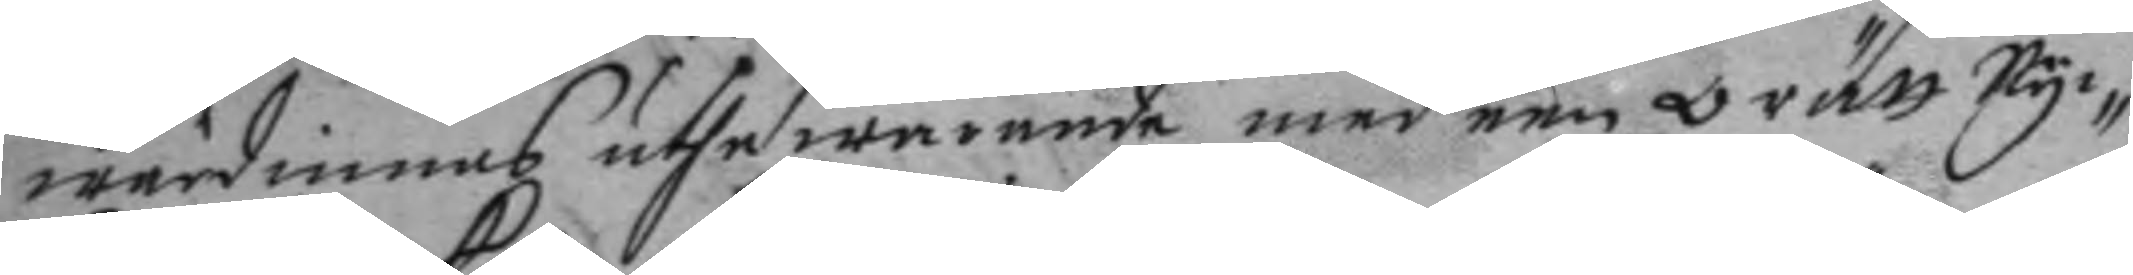wärdinnas uthewarande med een orätt nyc¬
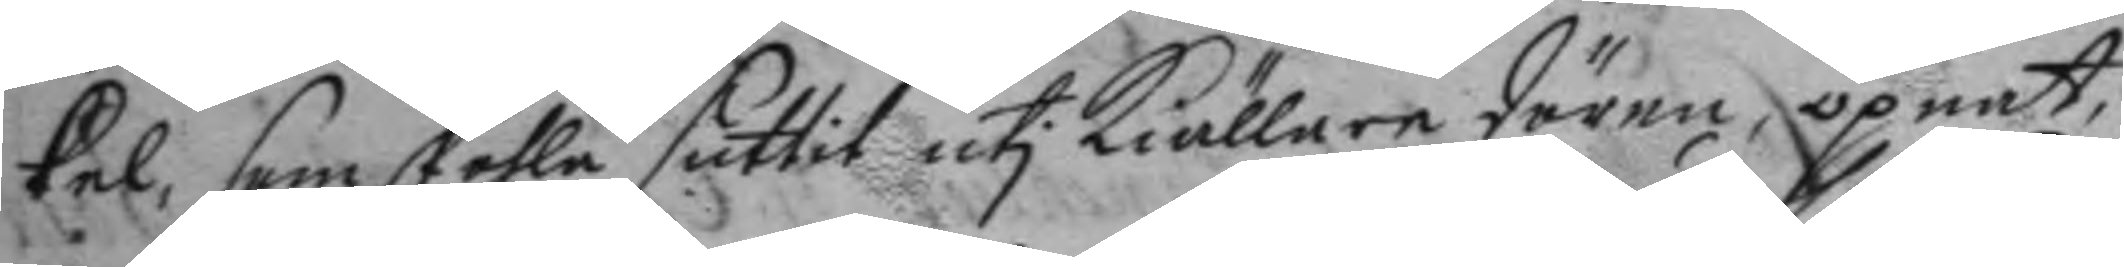kel, som skohla suttit uti kiällare dören, öpnat,
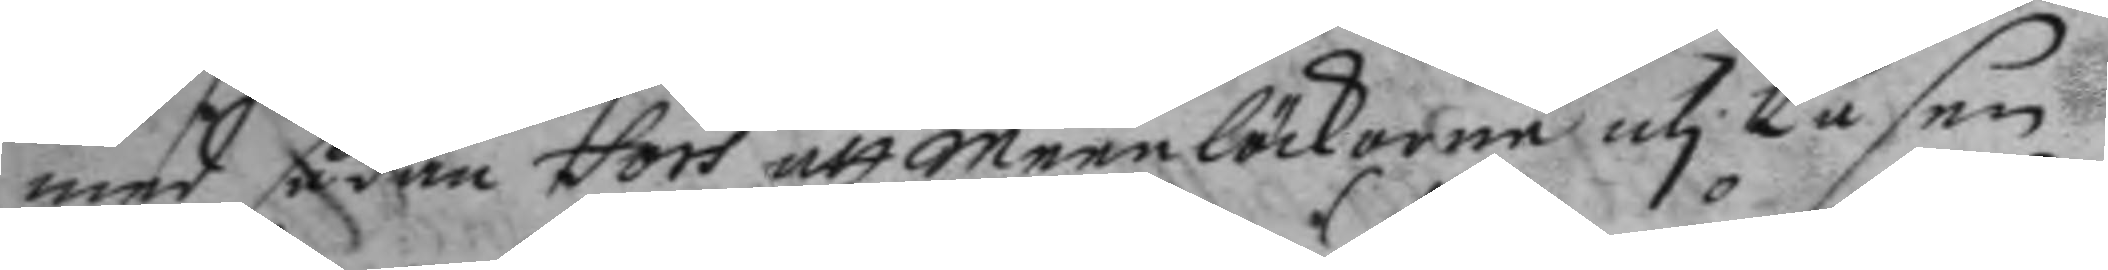med sådan fors att meenlöckorne uti låsen
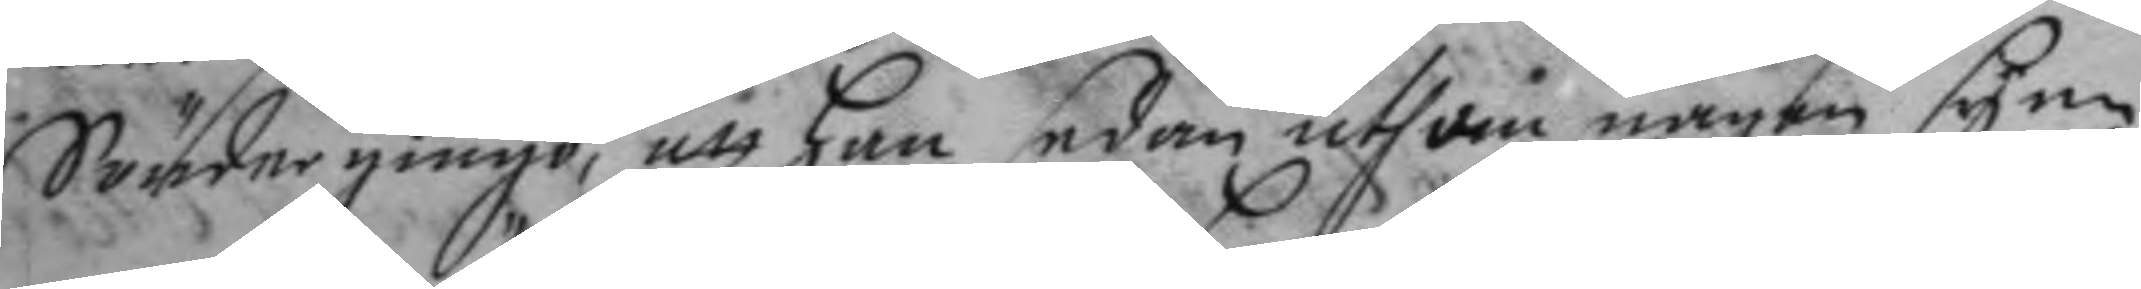Söndrgingo, att han sedan uthom någen syn¬
